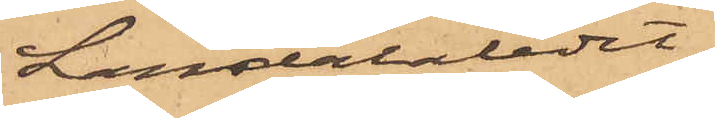Landalaledet
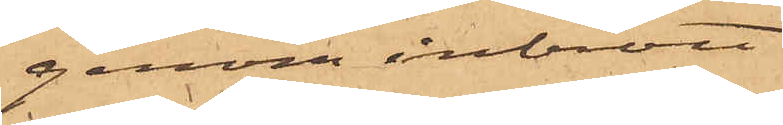genom inbrott
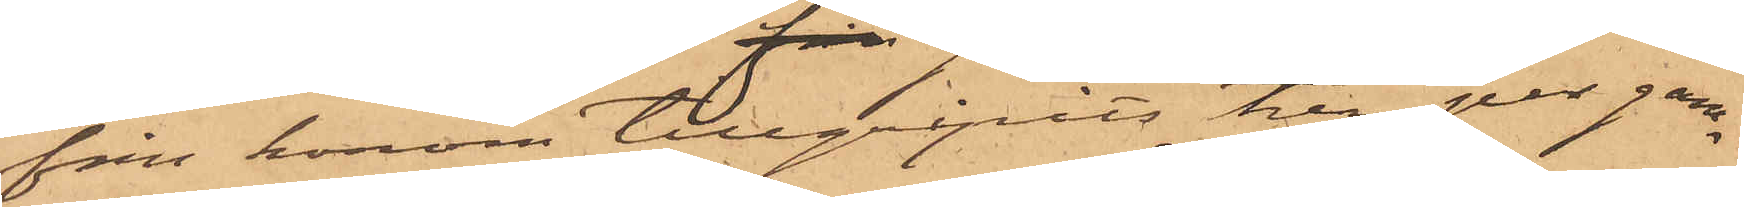från honom tillgripits till par gam¬
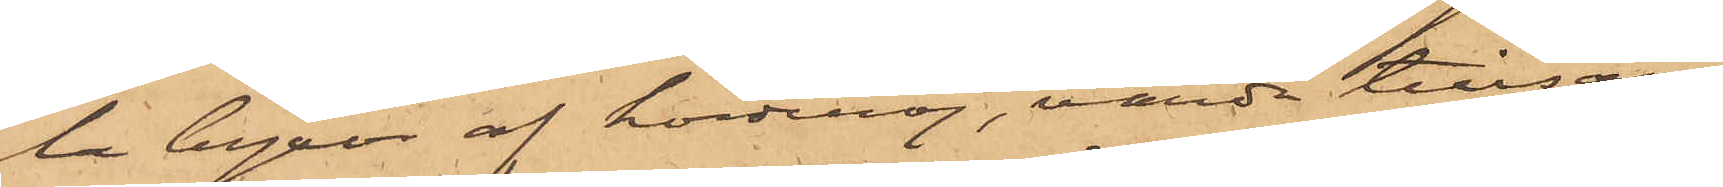la byxor af korderoj, värda tillsam¬
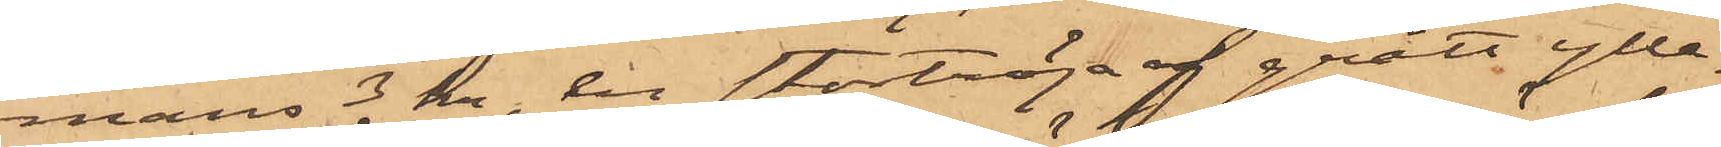mans 3 kr, till stortröja af grått ylle¬
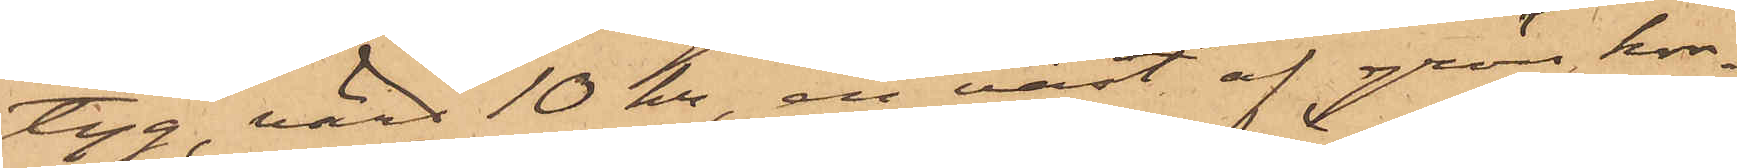tyg, värd 10 kr, en väst af grön kor¬
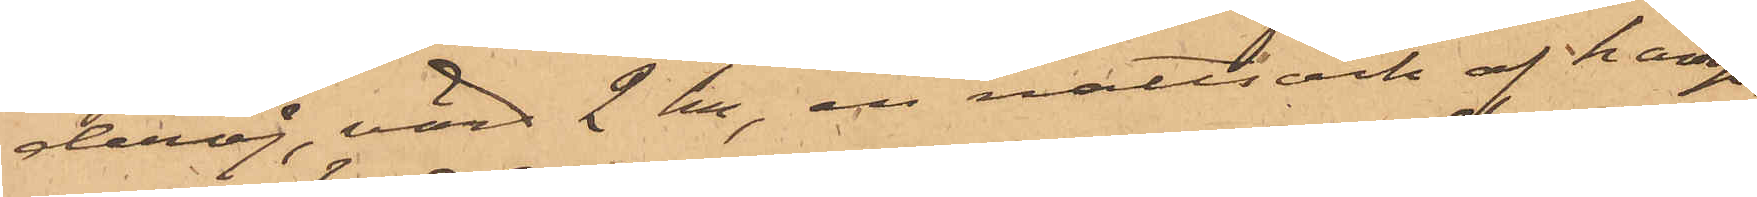deroj, värd 2 kr, en nattsärk af hamp¬
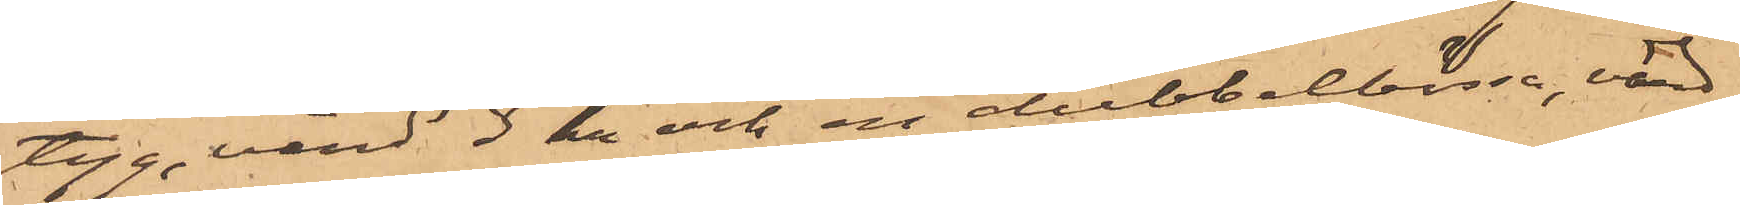tyg, värd 3 kr och en dubbelbössa, värd
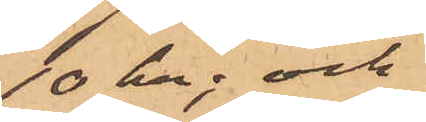10 kr; och
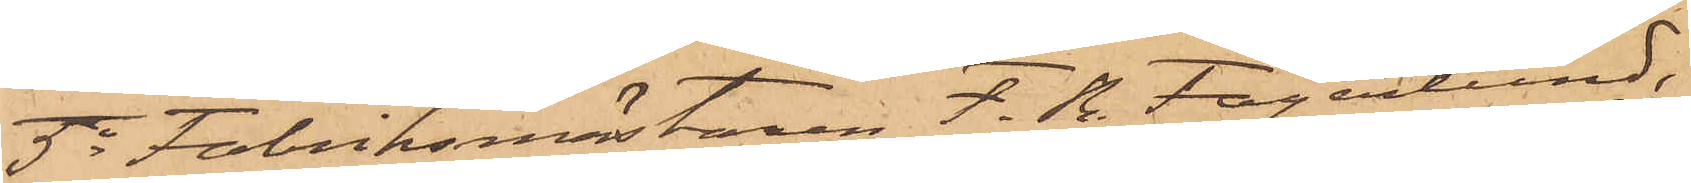5o Fabriksmästaren F. R. Fagerlund,
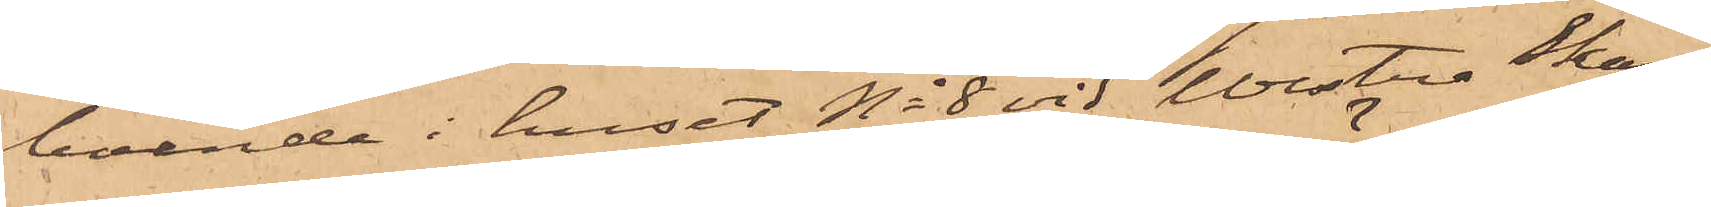boende i huset No 8 vid Westra Skans¬
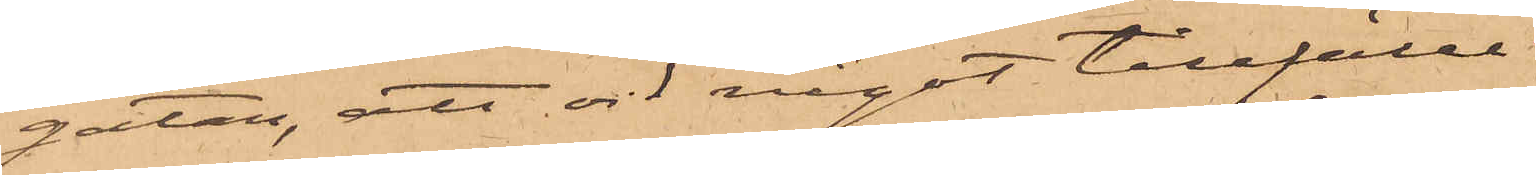gatan, att vid något tillfälle
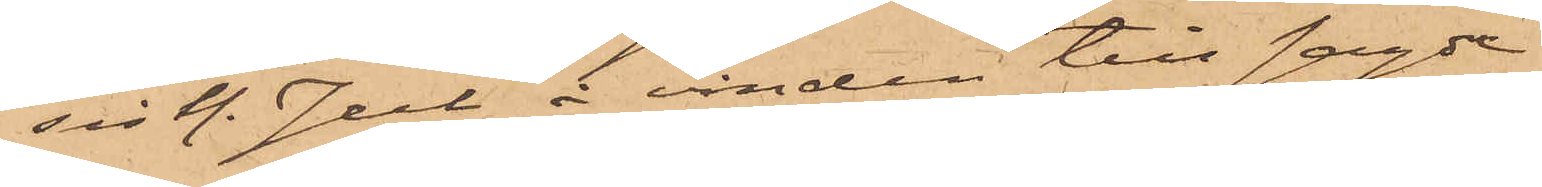sistl. Jul å vinden till sagde
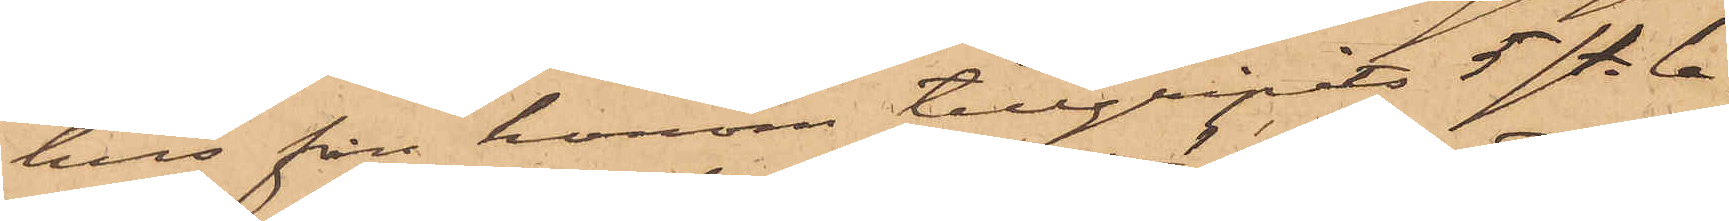hus från honom tillgripits 5 st. la¬
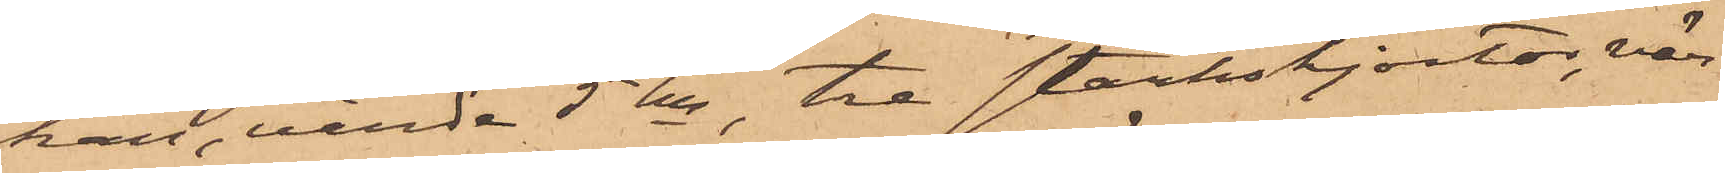kan, värda 5 kr, tre stärkskjortor, vär¬
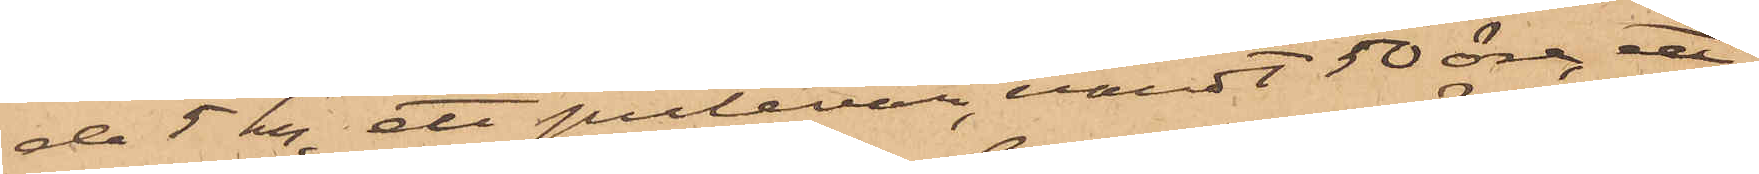da 5 kr, ett putevar, värdt 50 öre, ett
